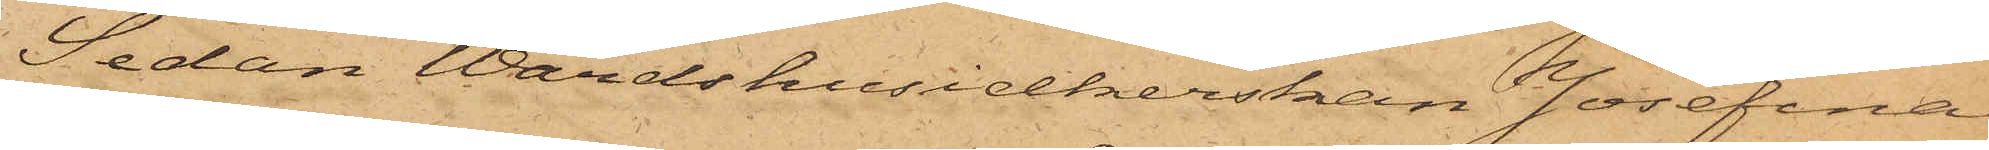Sedan Wärdshusidkerskan Josefina
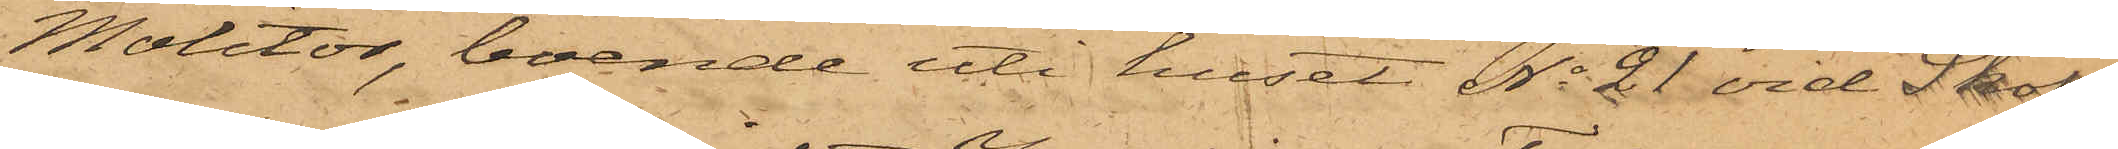Molitor, boende uti huset No 21 vid Skol¬
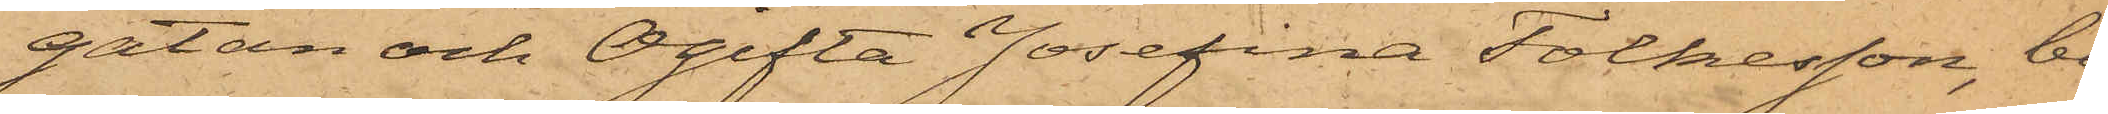gatan och Ogifta Josefina Folkesson, bo¬
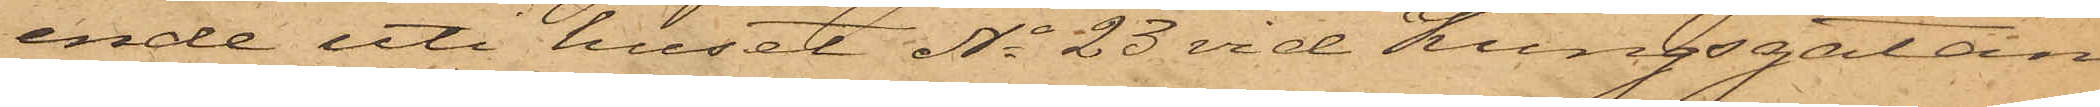ende uti huset No 23 vid Kungsgatan
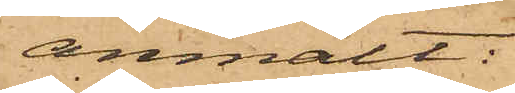anmält:
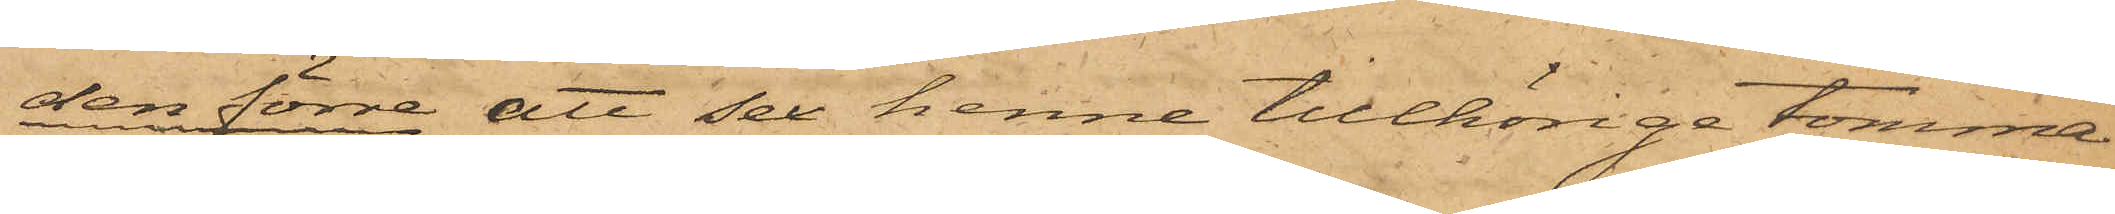den förre att så henne tillhörige tomma
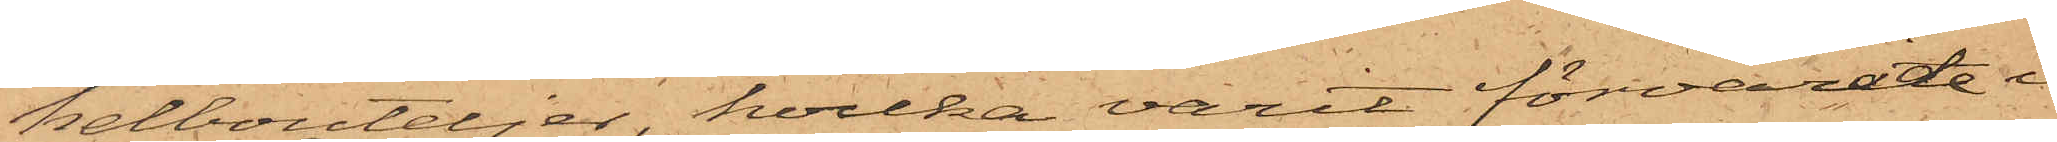helbouteljer, hvilka varit förvarade i
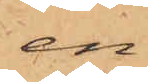en
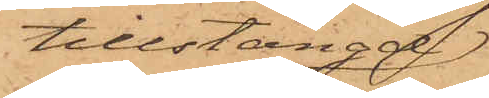tillstängd
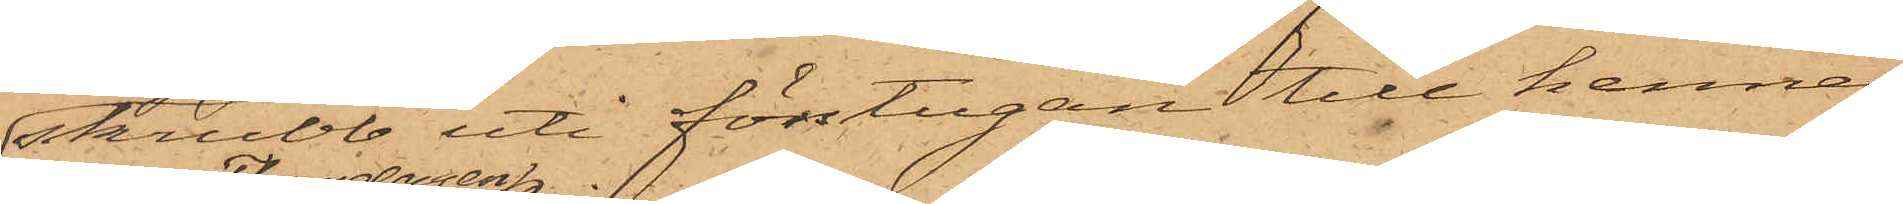skrubb uti förstugan till hennes
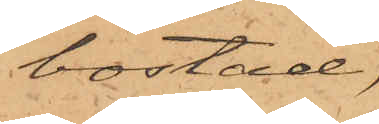bostad,
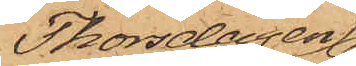Thorsdagen
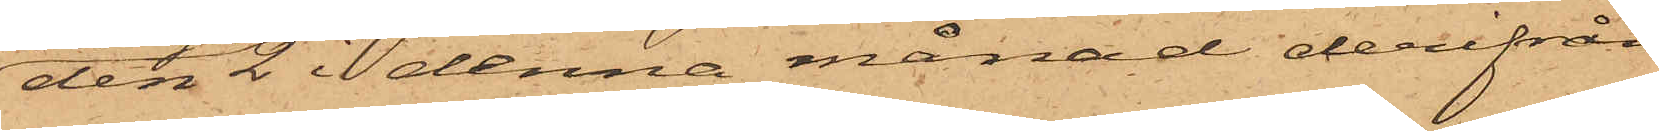den 2 i denna månad derifrån
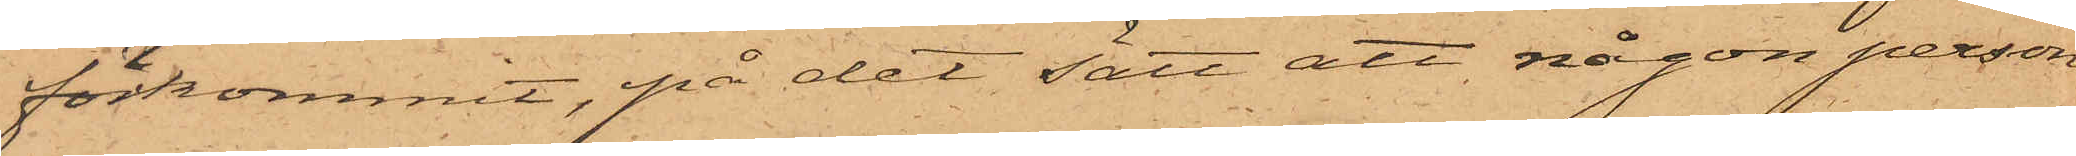förkommit, på det sätt att någon person
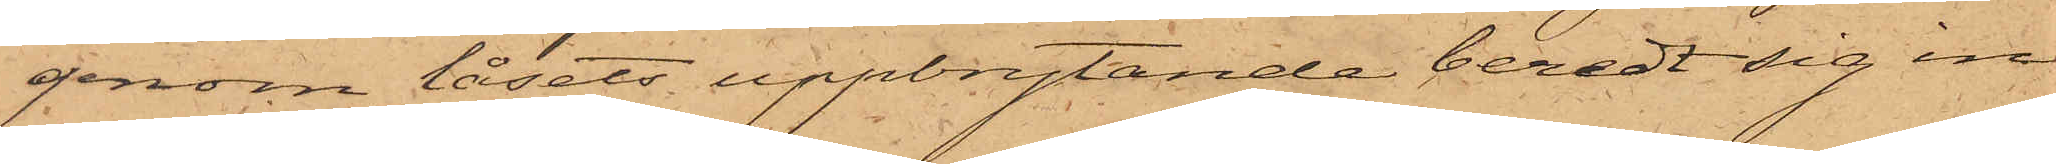genom låsets uppbrytande beredt sig in¬
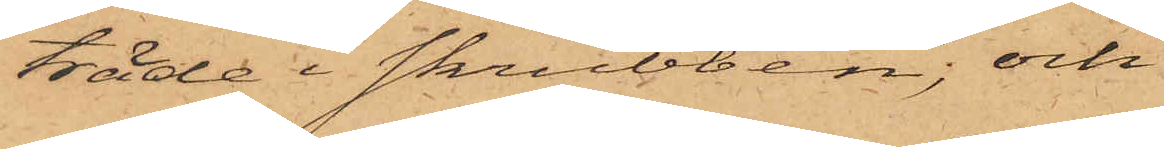träde i skrubben; och
